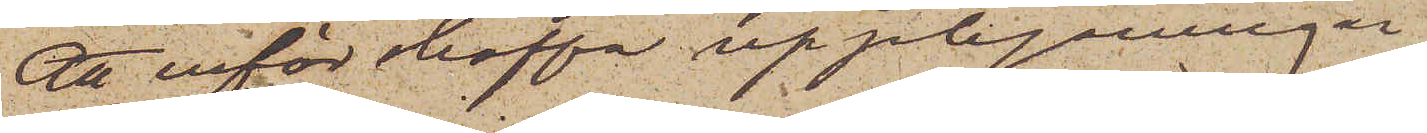att införskaffa upplysningar
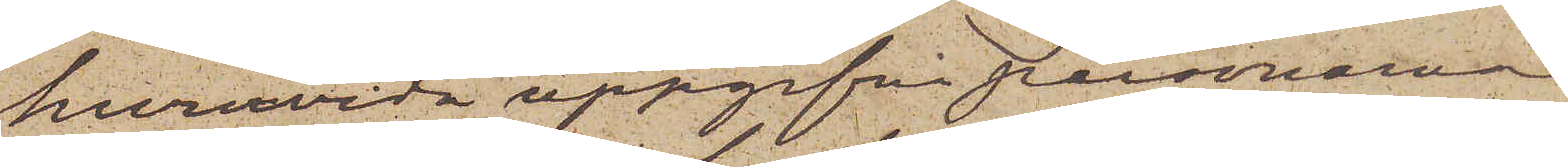huruvida uppgifna personerna
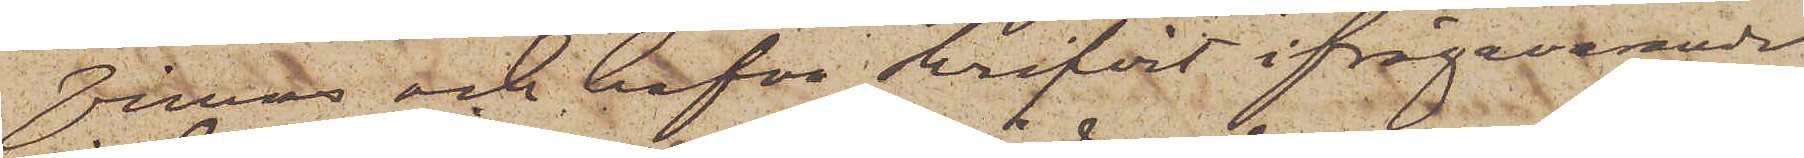finnas och hafva skrifvit ifrågavarande
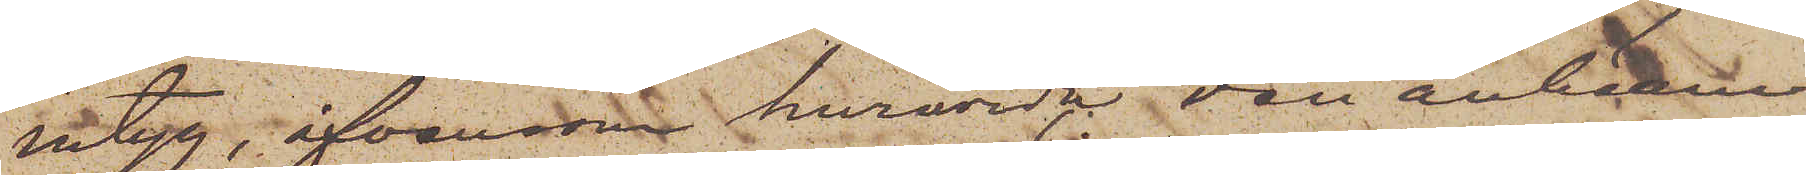intyg, äfvensom huruvida den anhållne
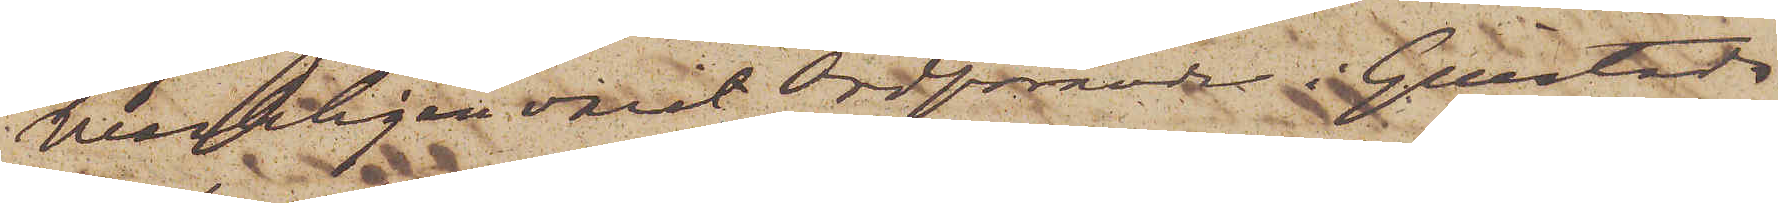verkligen varit Ordförande i Gillstads
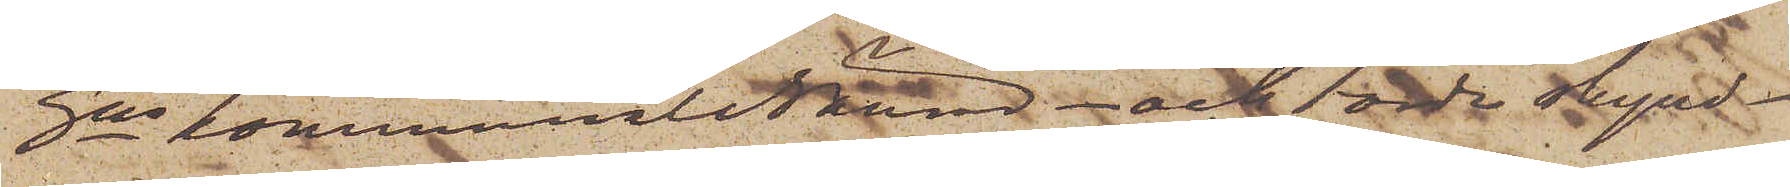sns kommunalNämnd  - och torde skynd¬
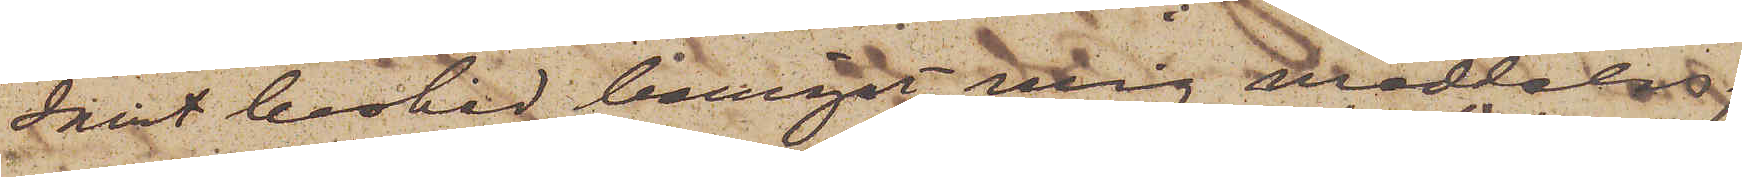samt besked benäget mig meddelas.
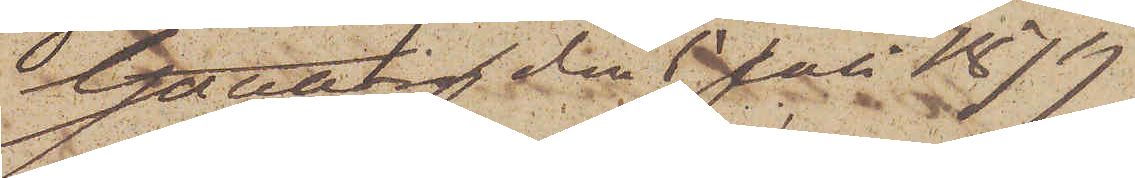Göteborg den 5 Juli 1879
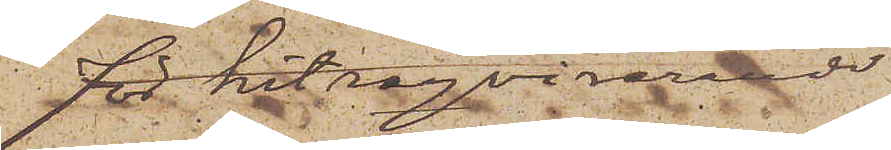för hitreqvirerade
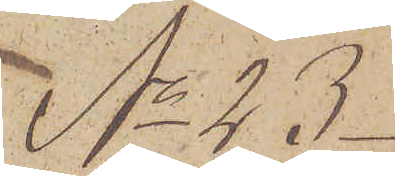No 23.
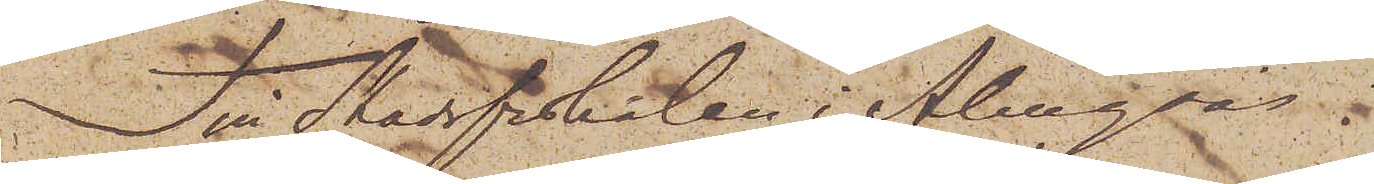Till Stadsfiskalen i Alingsås.
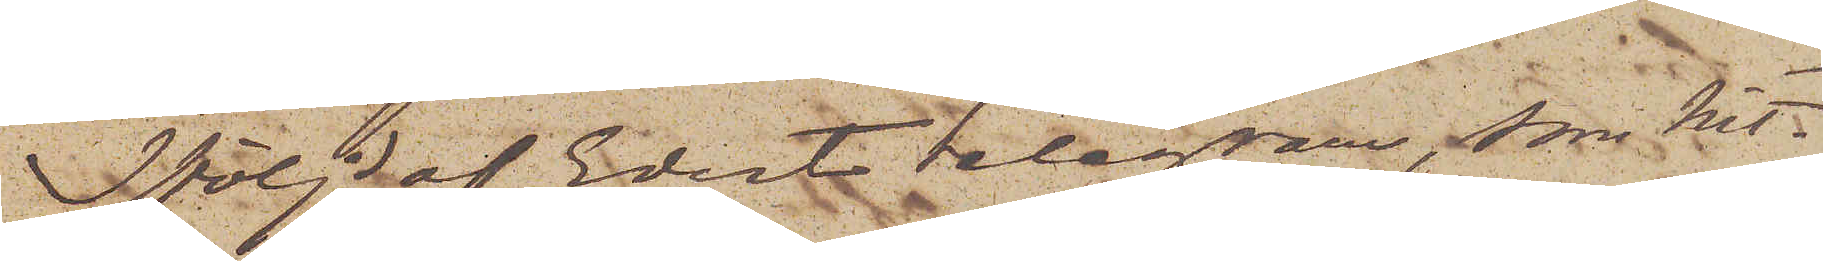I följd af Edert telegram, som hit¬
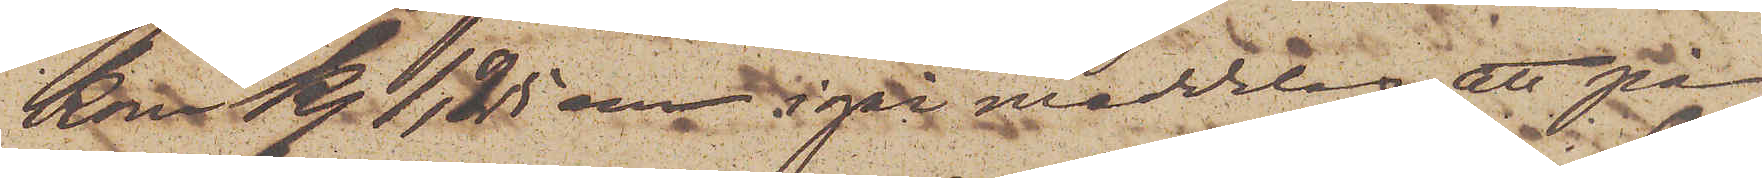kom kl. 1,25 em igår meddelas att på
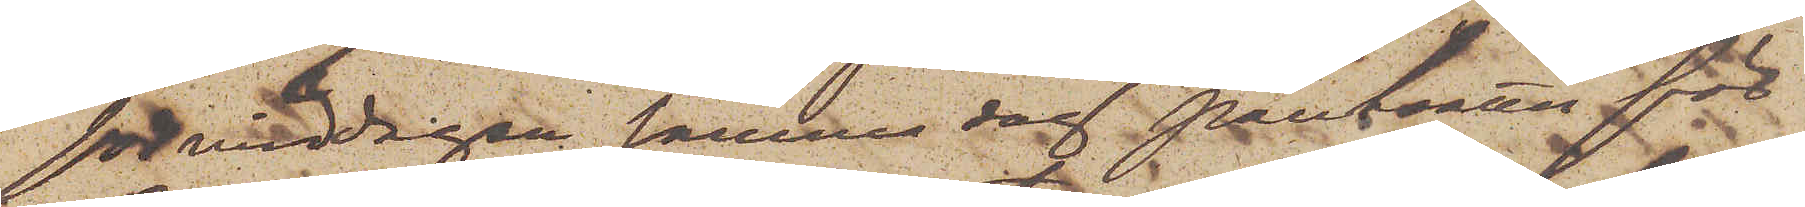förmiddagen samma dag pantsattes för
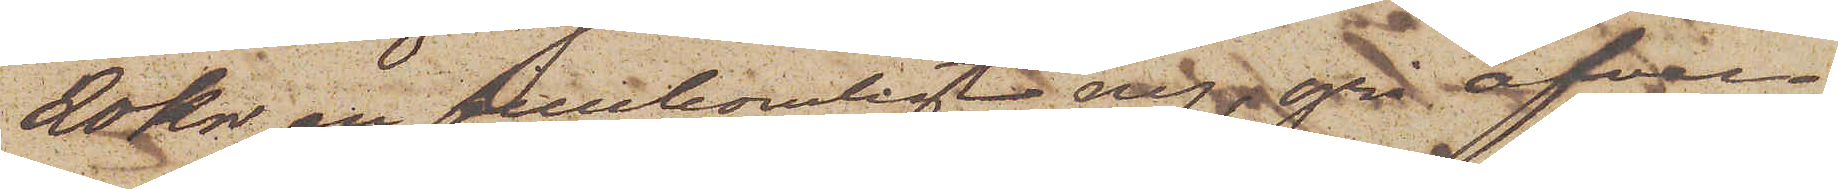20 kr en fullkomligt ny grå öfver¬
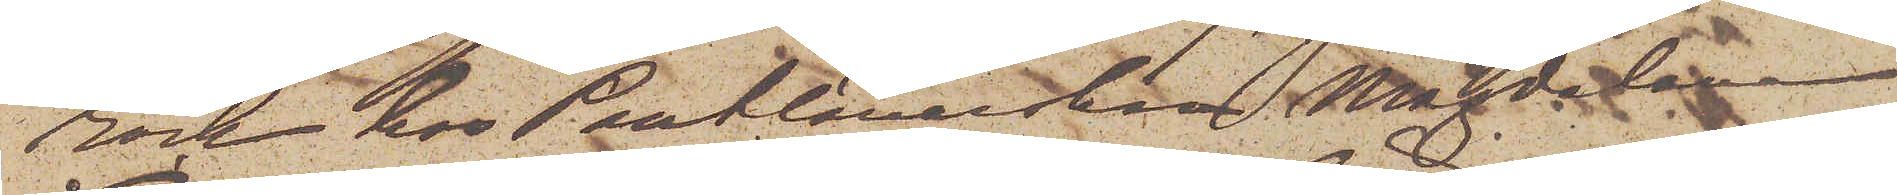rock hos Pantlånerskan Magdalena
